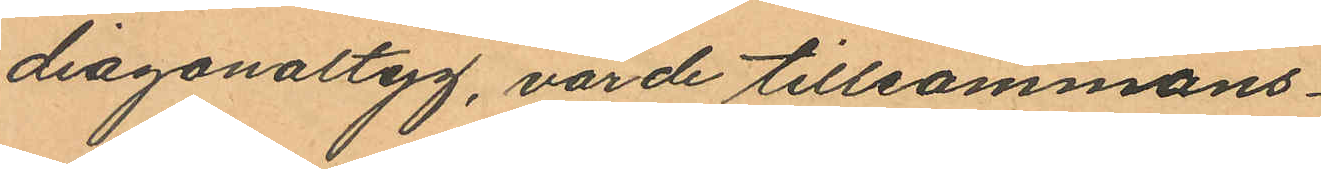diagonaltyg, värde tillsammans
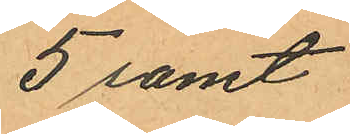5 samt
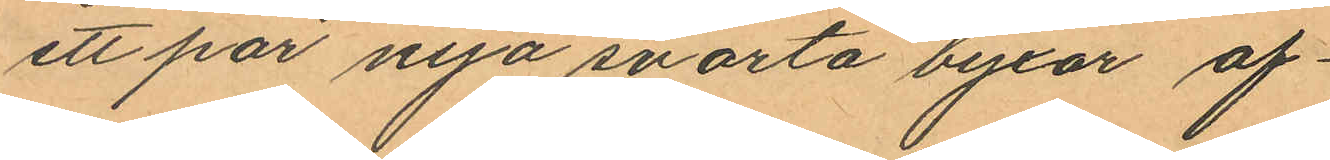ett par nya svarta byxor af¬
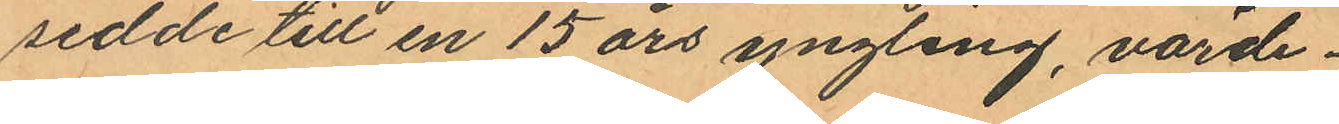sedde till en 15 års yngling, värde
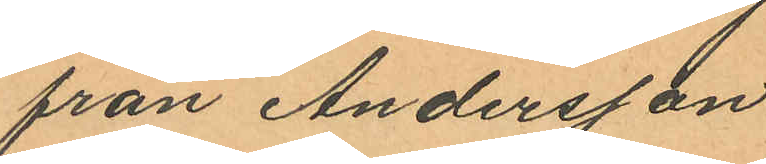från Andersson
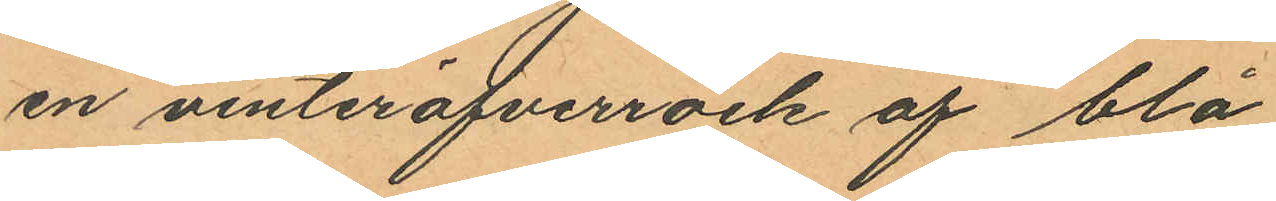en vinteröfverrock af blå
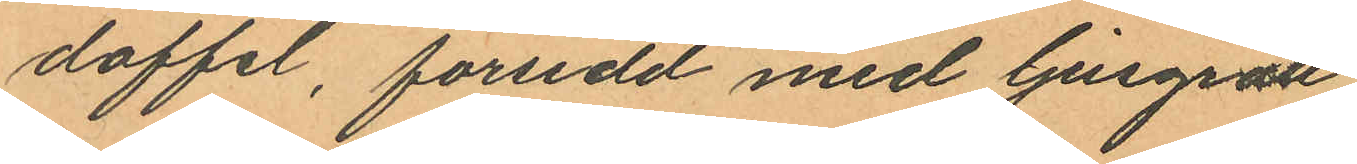doffel, försedd med ljusgrått
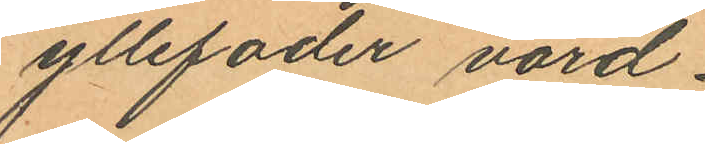yllefoder värd
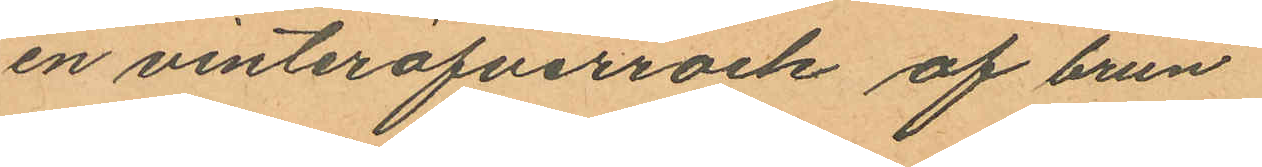en vinteröfverrock af brun
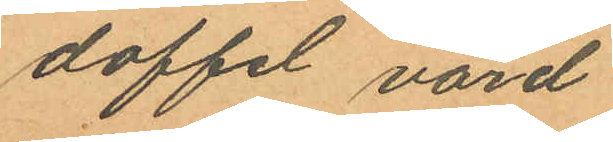doffel värd
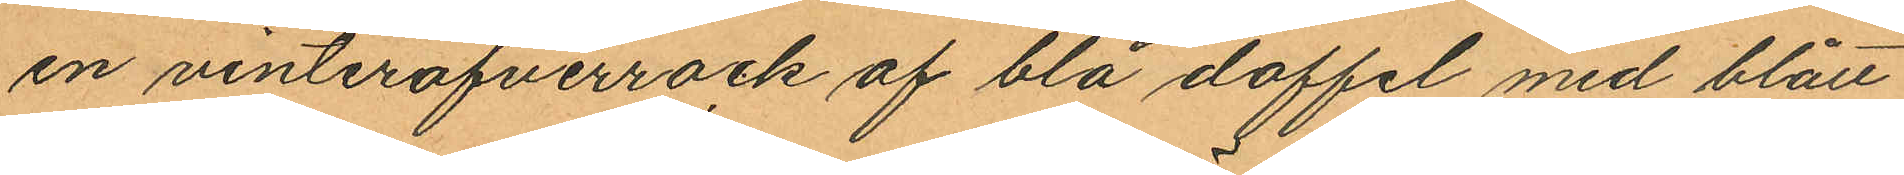en vinteröfverrock af blå doffel med blått
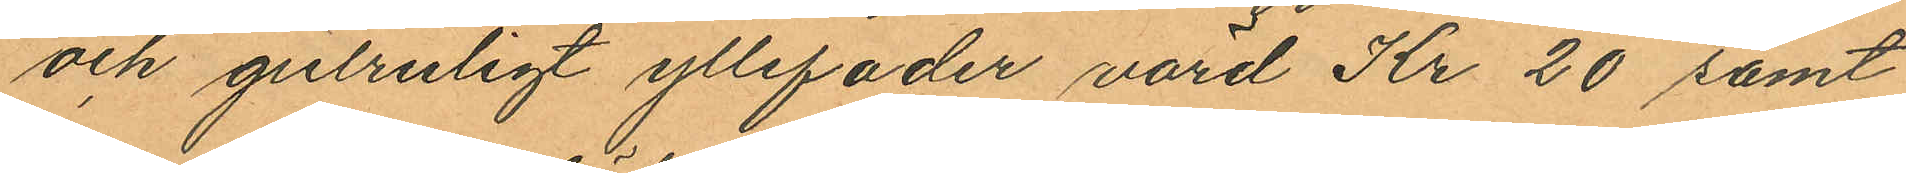och gulruligt yllefoder värd Kr 20 samt
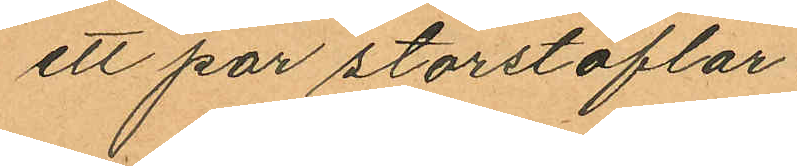ett par storstöflar
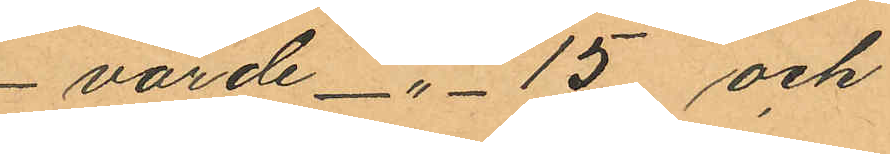värde -"- 15 och
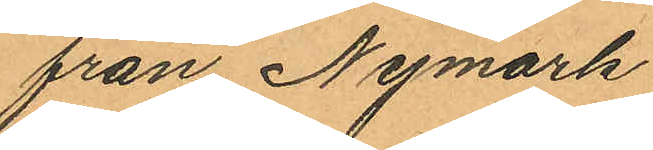från Nymark
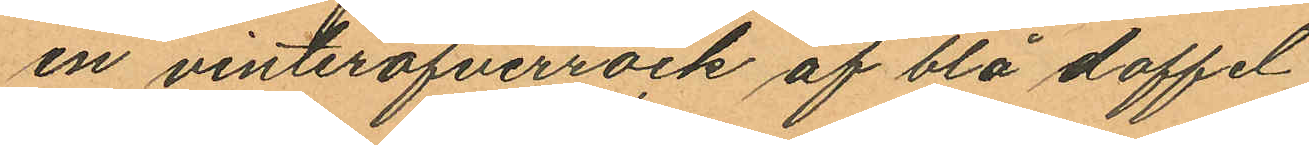en vinteröfverrock af blå doffel
